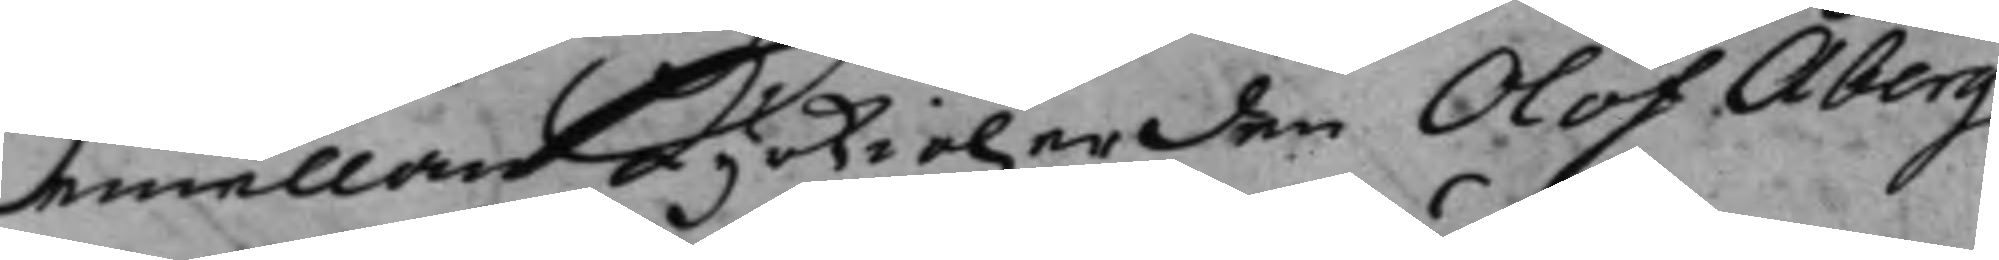emellan Kyrkioherden Olof Åberg
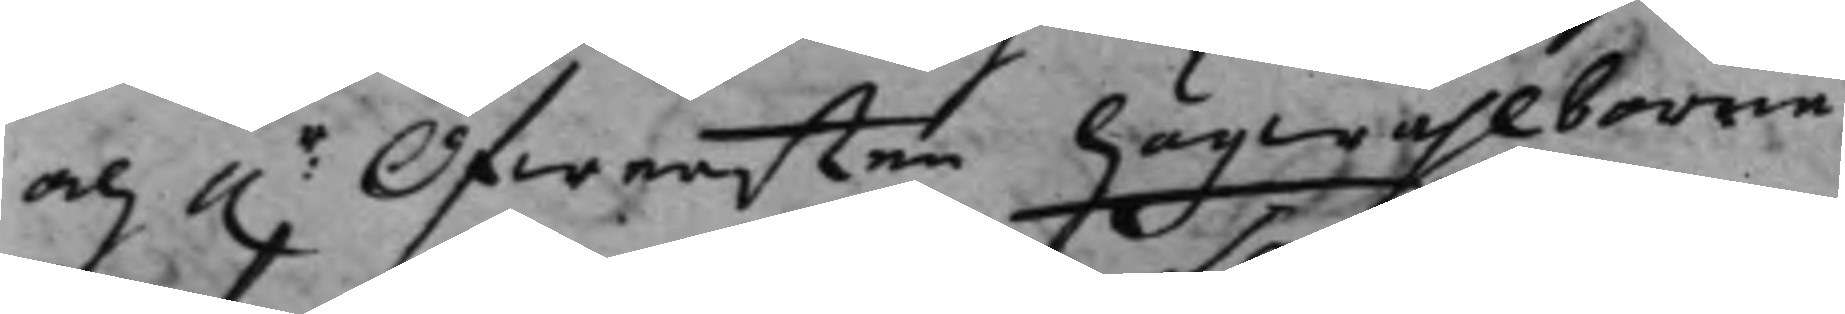och h.r Öfwersten högwählborne
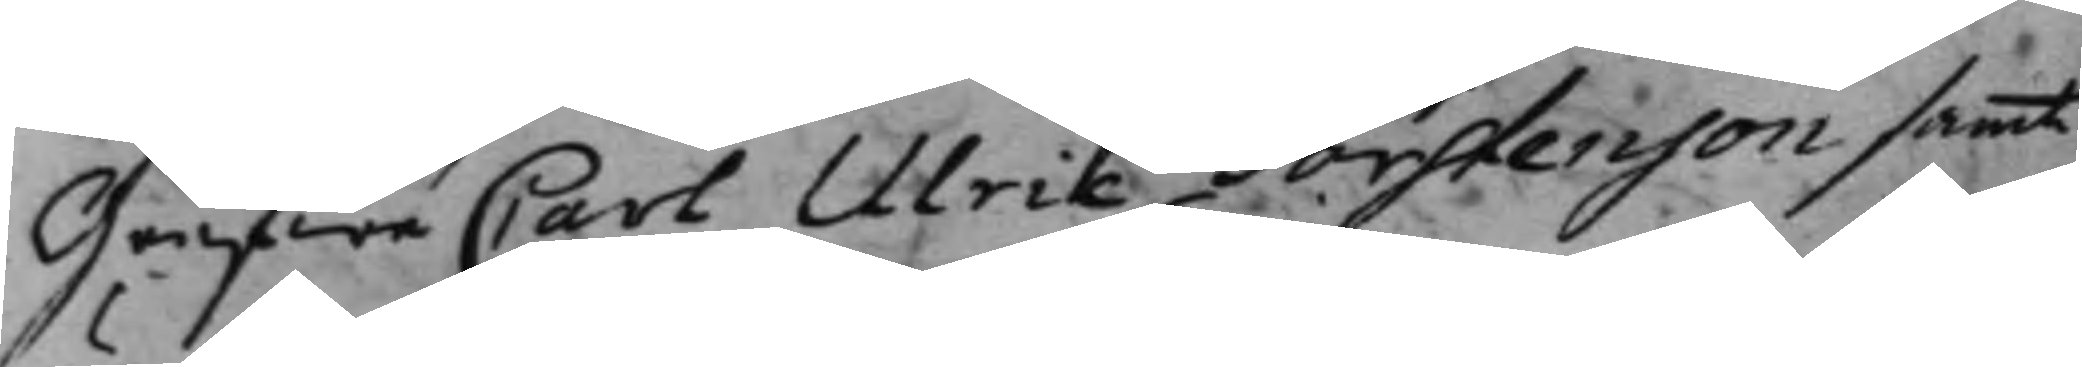Grefwe Carl Ulric Torstenson samt
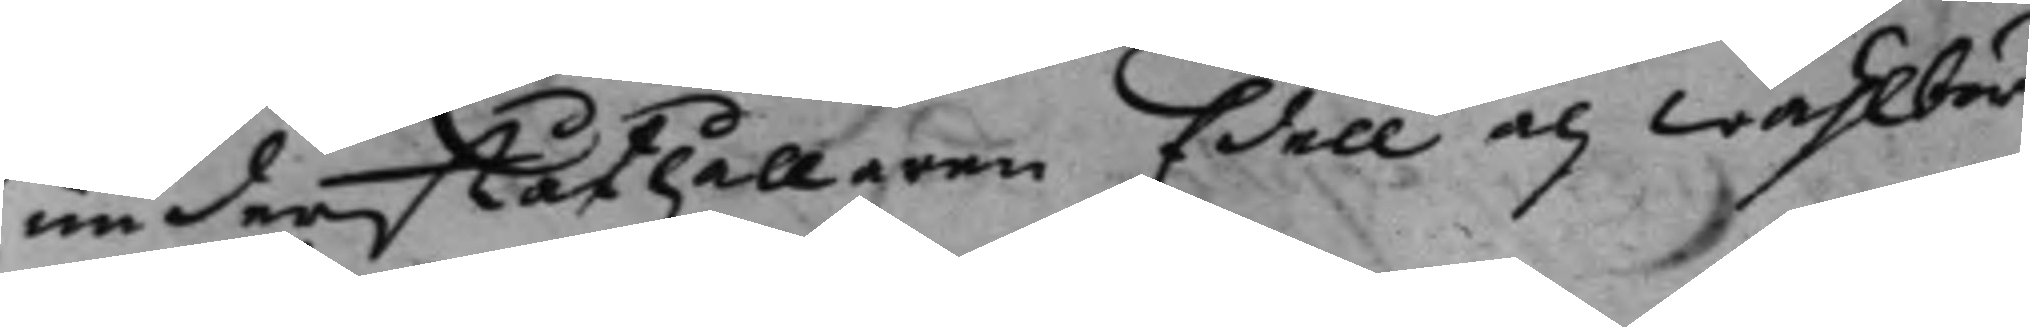underståthållaren Edell och Wählbör¬
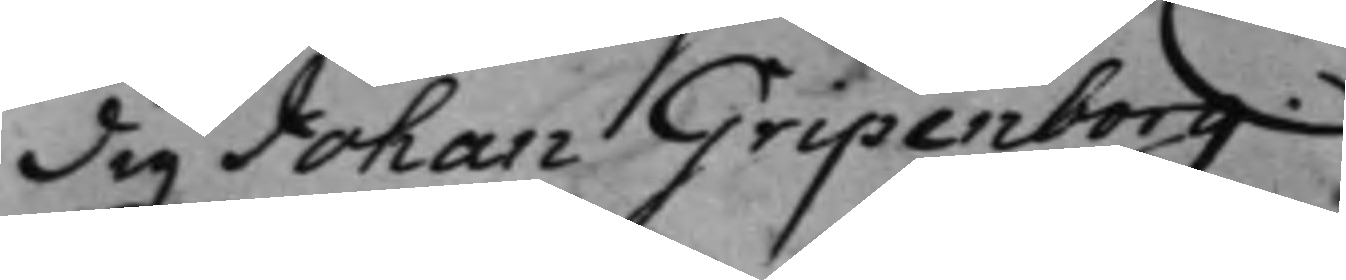dig Johan Gripenborg.
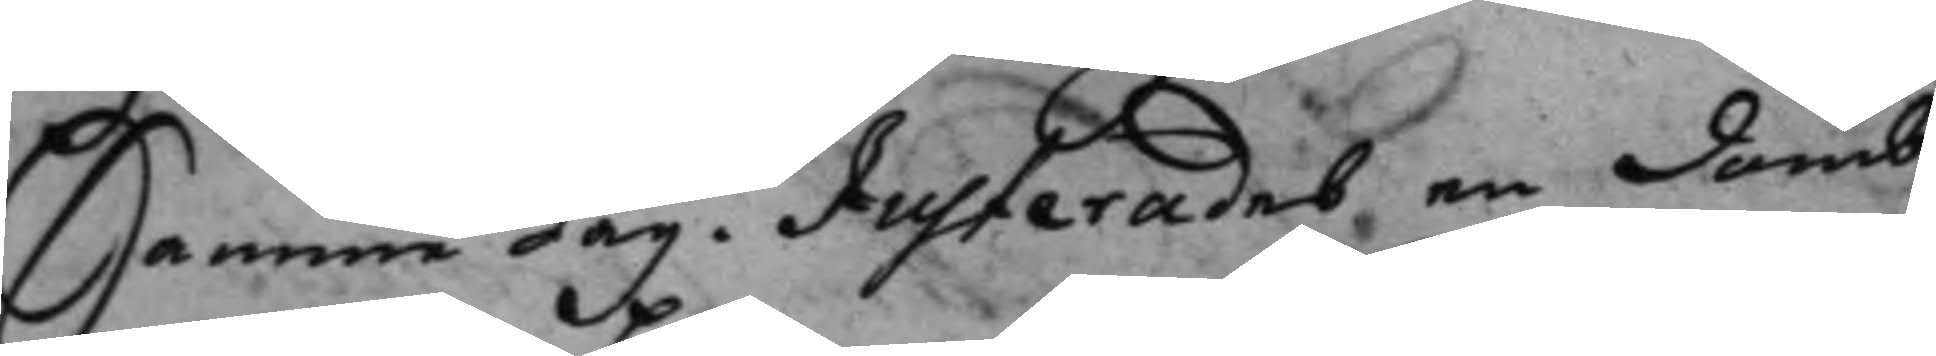Samme dag. Justerades en Domb
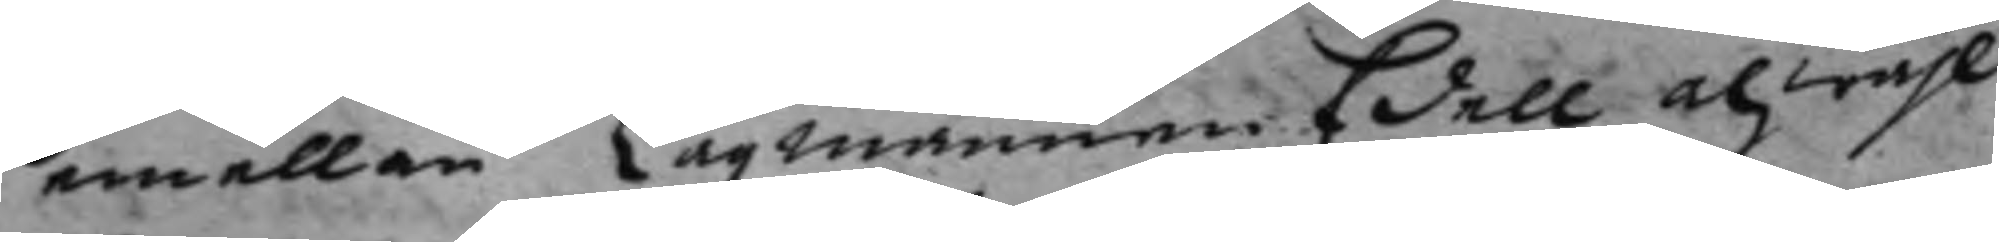emellan Lagmannen Edell och wähl¬
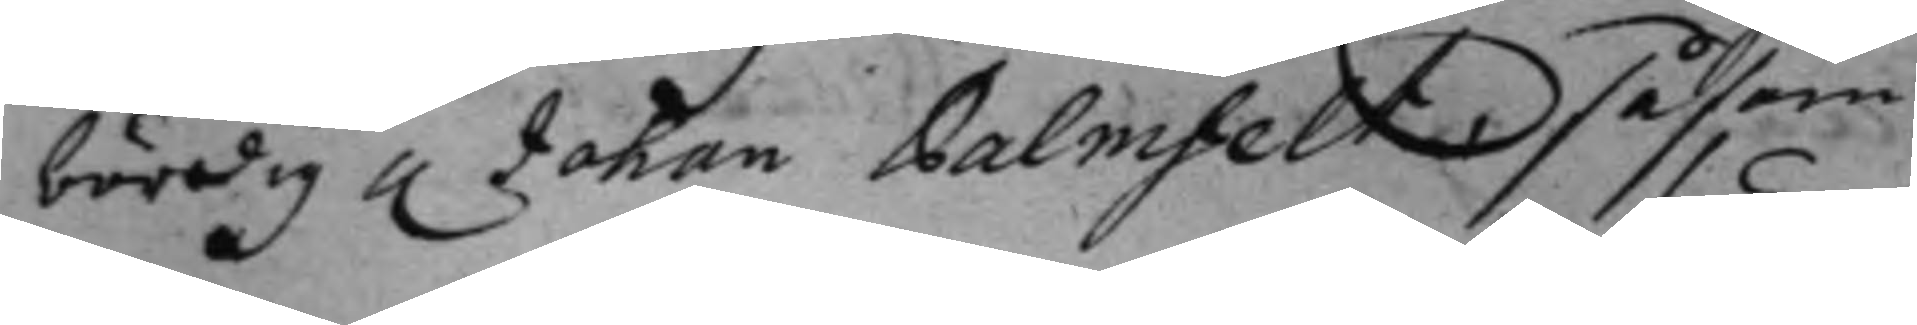bördig h. Johan Palmfelt, såsom
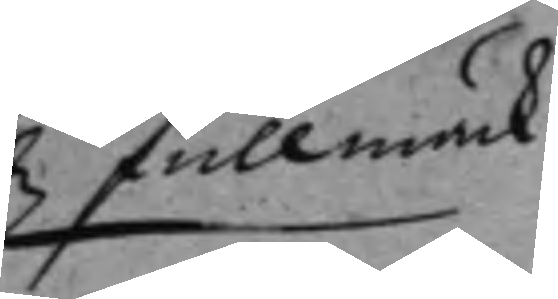fullmäck
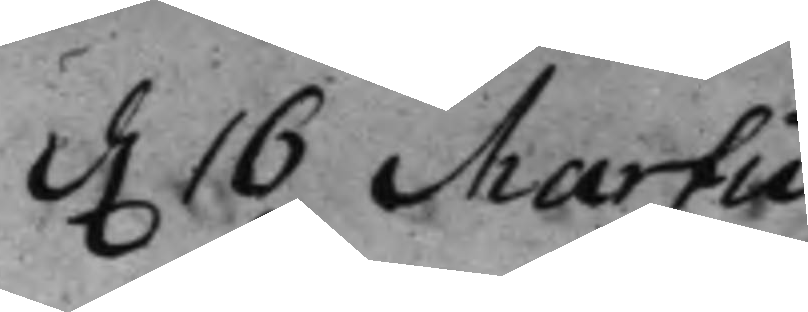d. 16 Martii
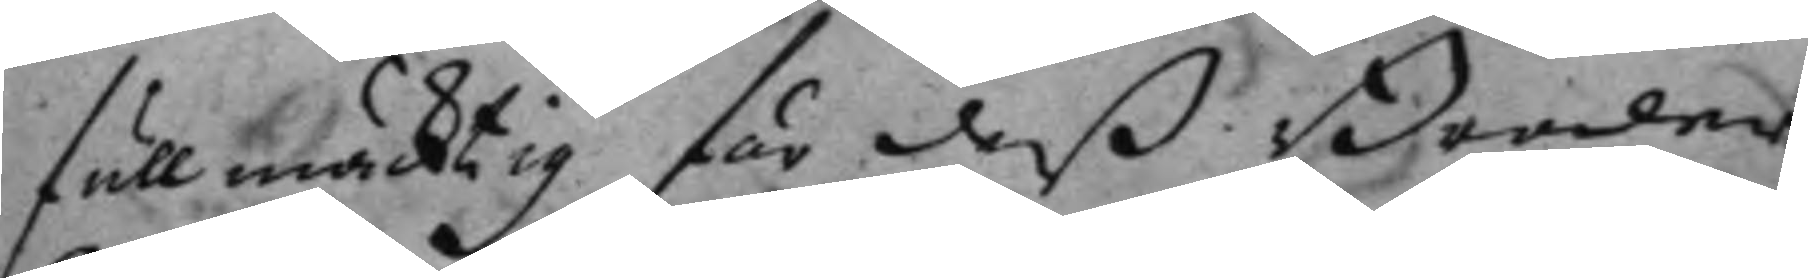fullmäcktig för deß Broder
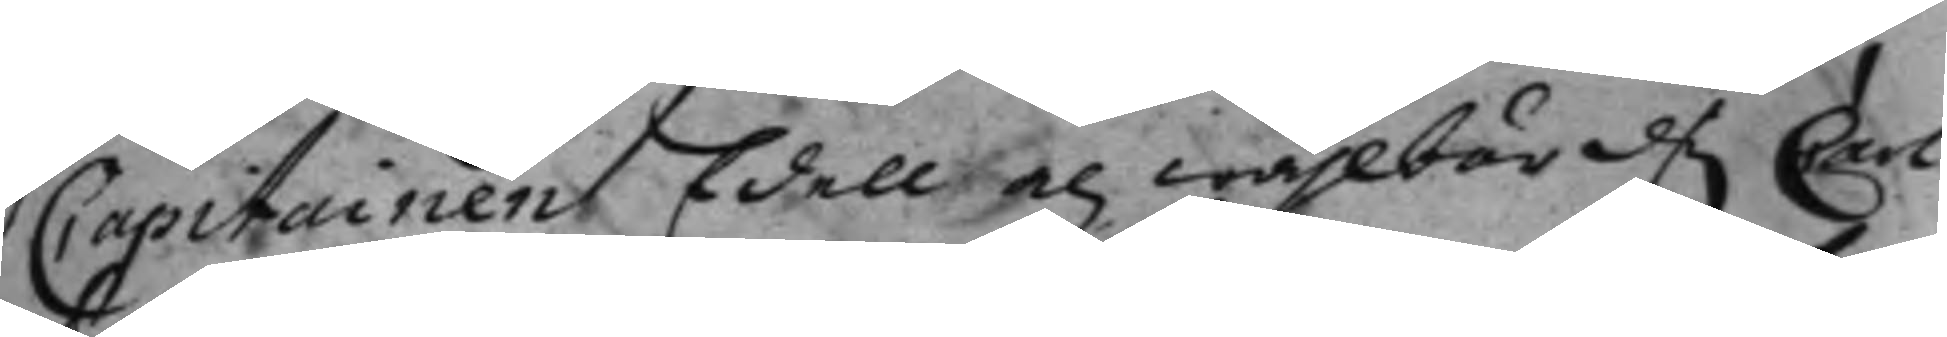Capitainen Edell och wählbörd. Carl
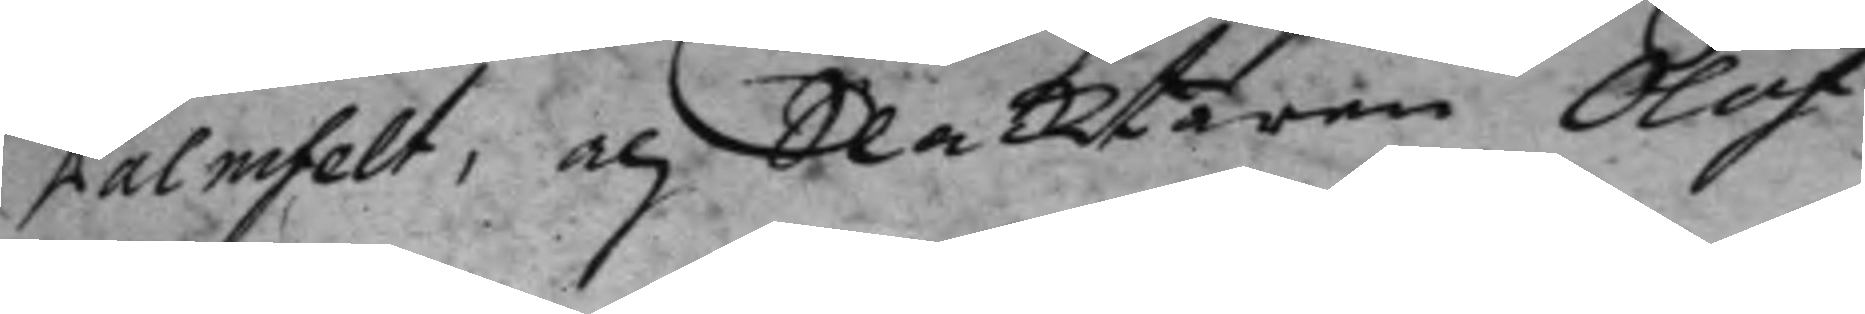Palmfelt, och Slacktaren Olof
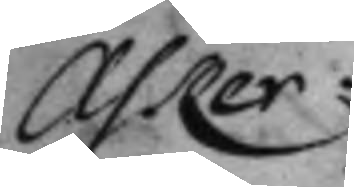Asker.
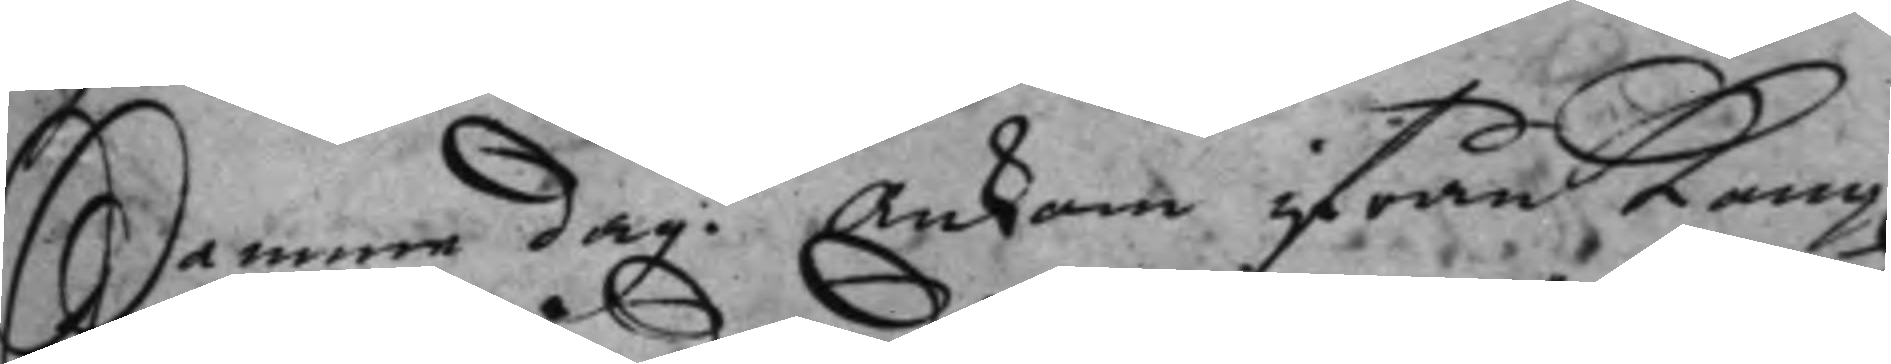Samme dag. Ankom ifrån Kong.
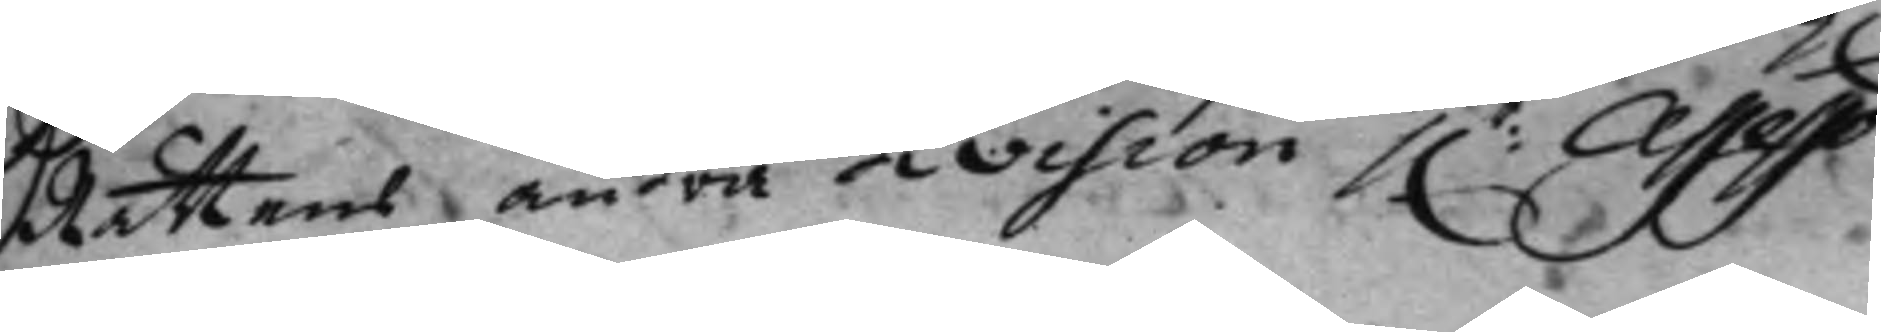Rättens andra division h.r Assesso¬
